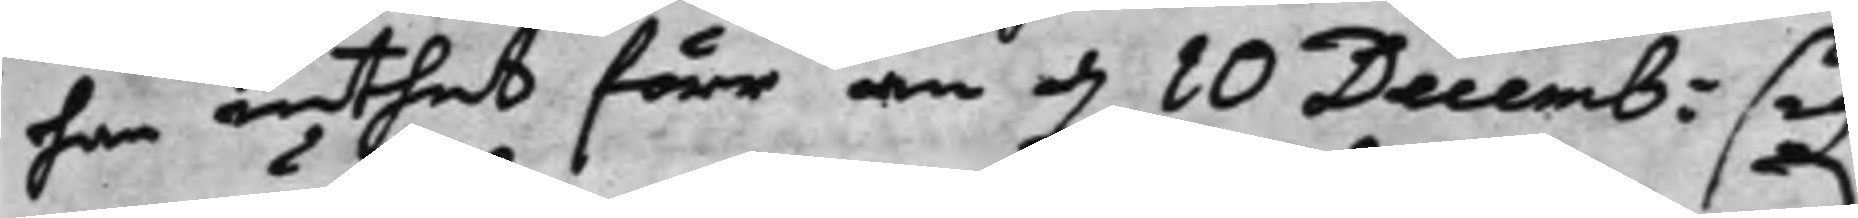han inthet förr än d. 10 Decemb: sig
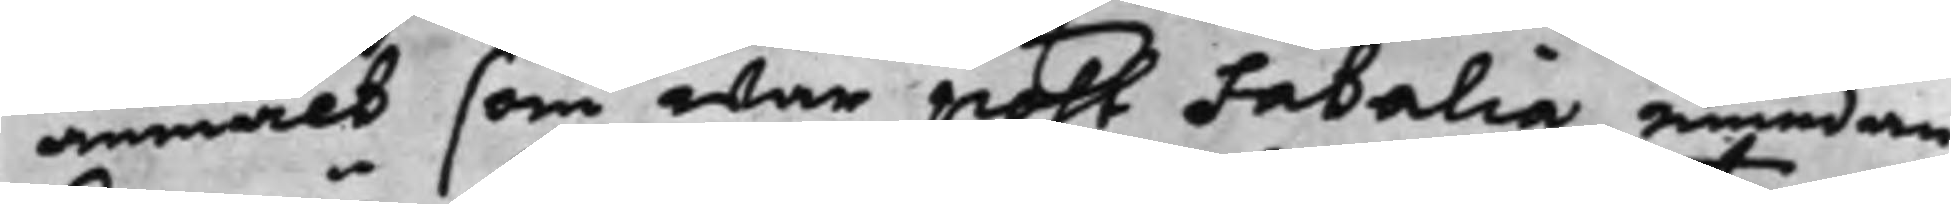anmält som war post Fatalia, emedan
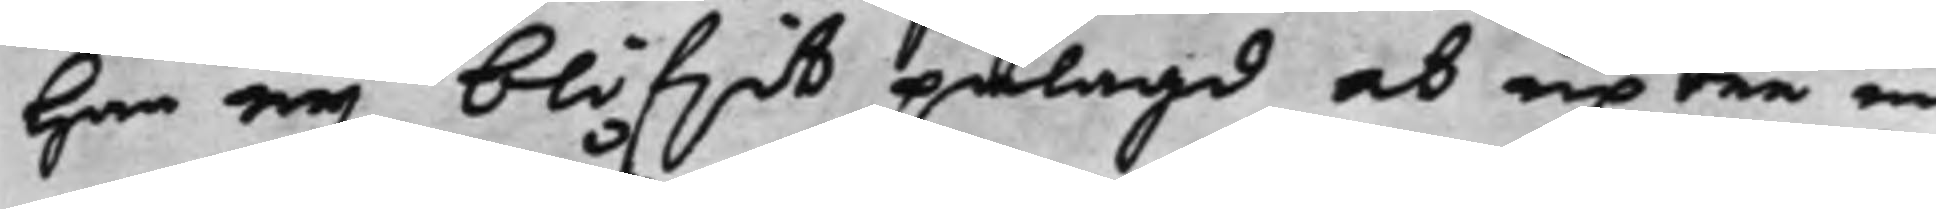han eij blifwit pålagd at uptre in¬
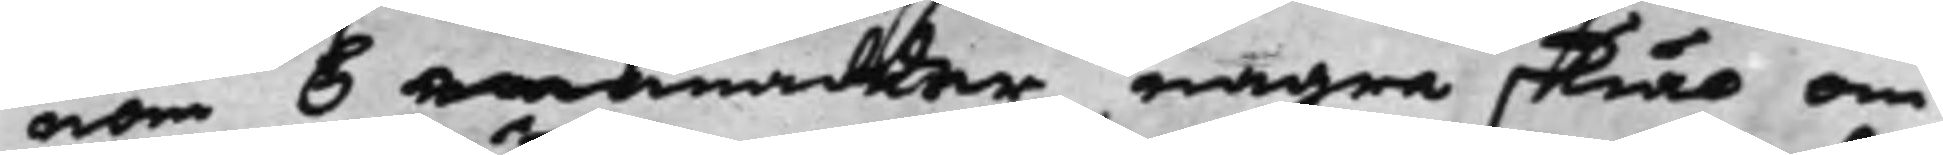nom 6 månader några skiäl om
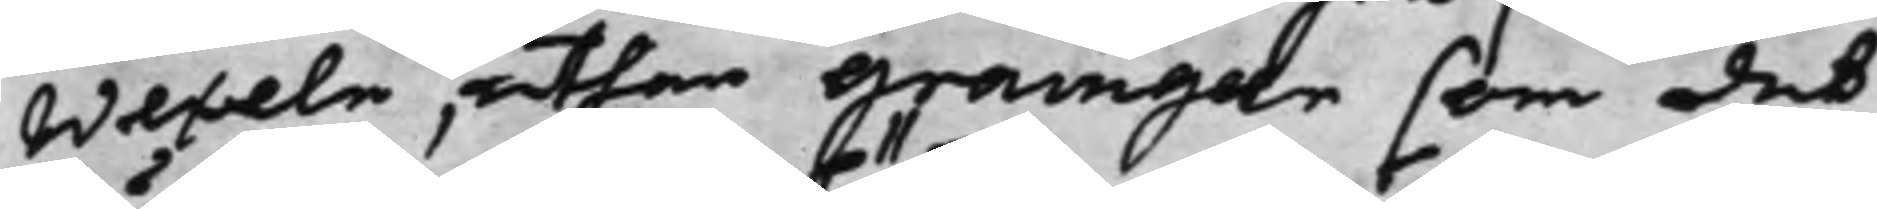Wexeln, uthan Grainger som det
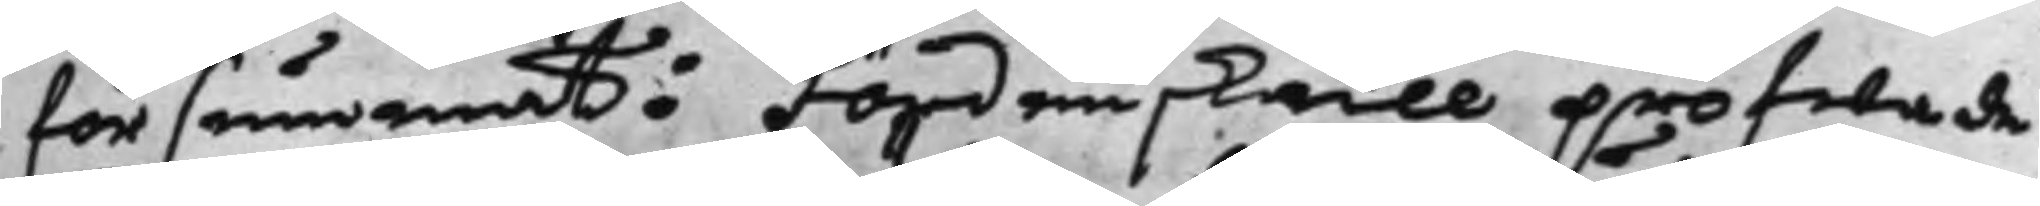försummat: Fördenskull pröfwade
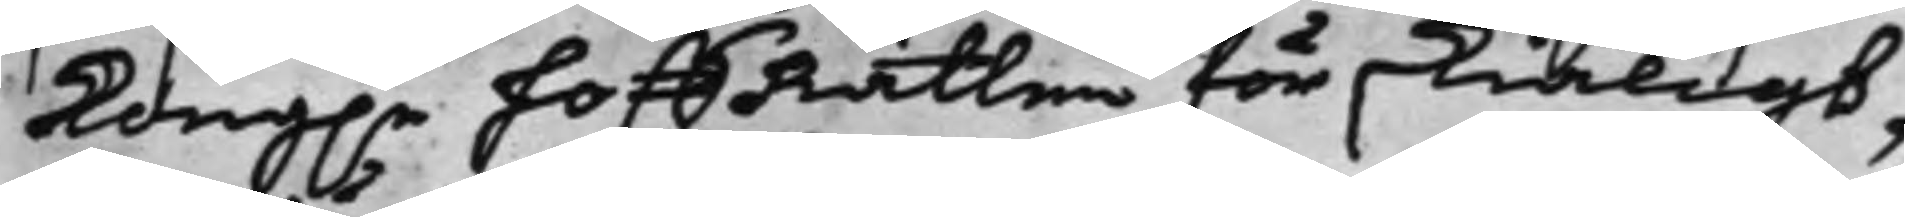Kong.e HoffRätten för skiäligt,
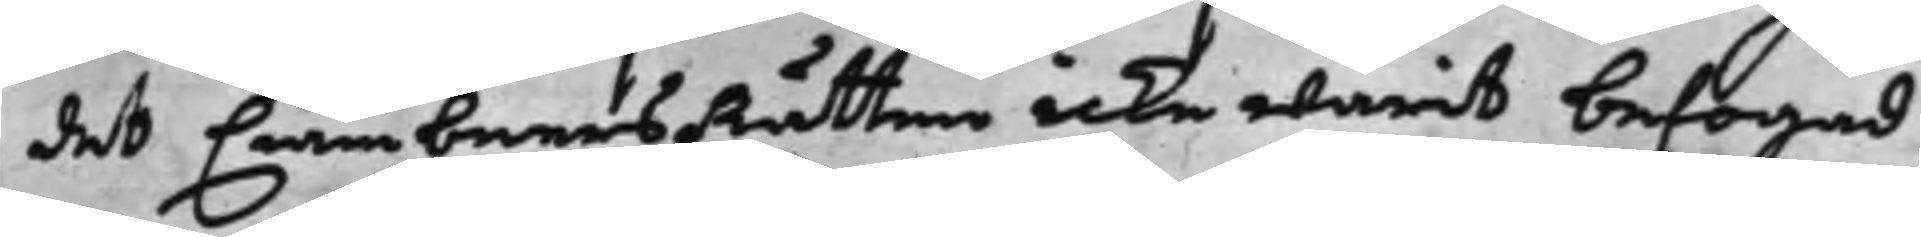det Ciämbners Rätten icke warit befogad
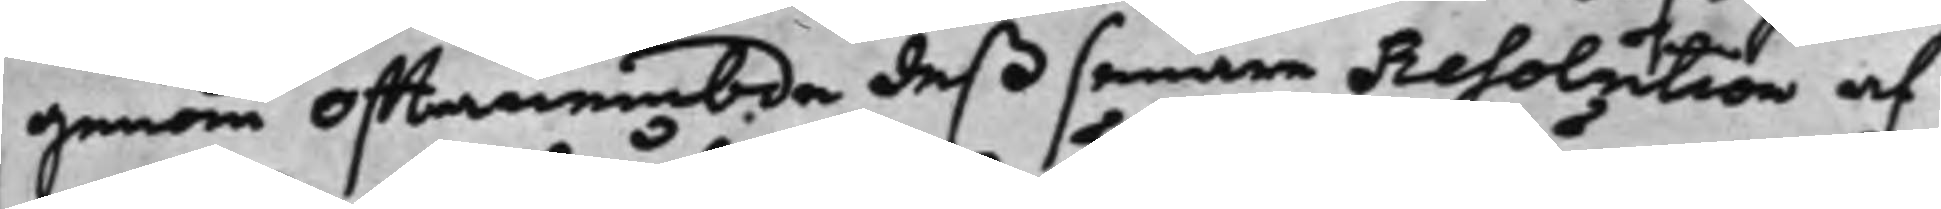genom offtanembde deß senare Resolution af
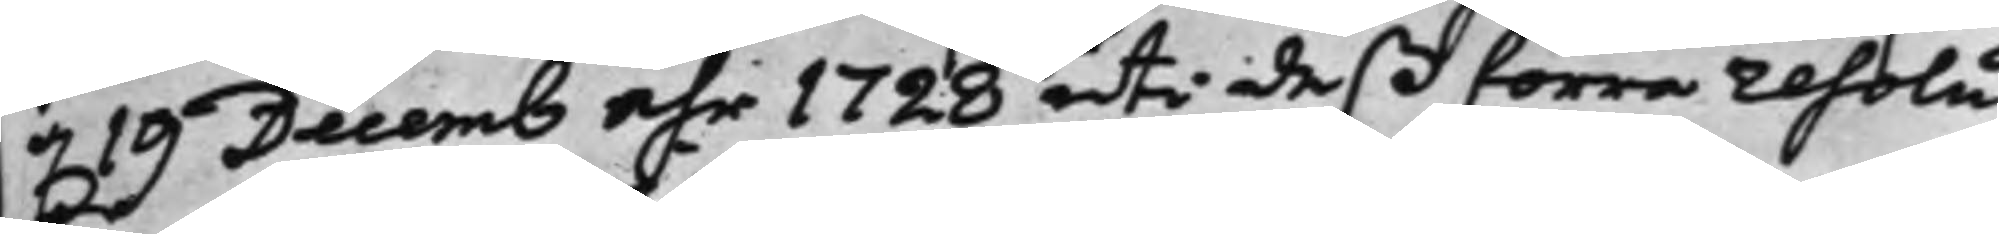d. 19 Decemb åhr 1728 uti deß förre resolu¬
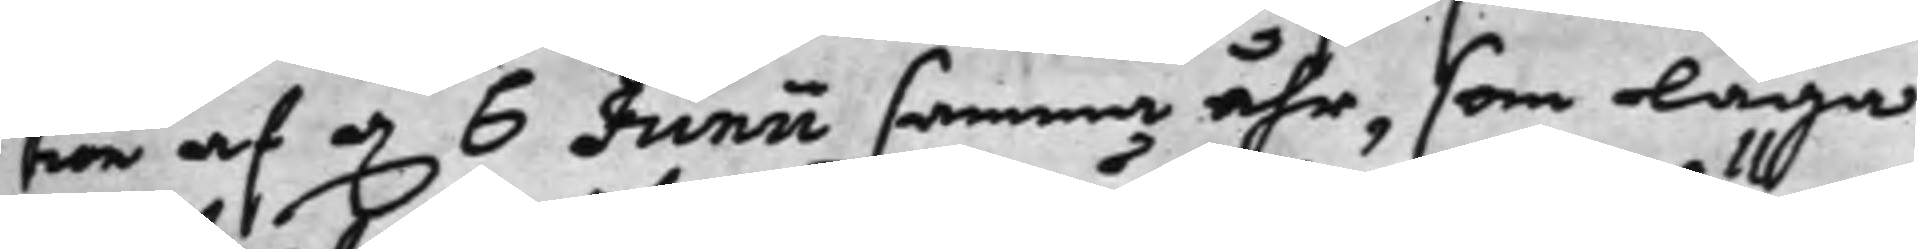tion af d. 6 Junii samma åhr, som laga
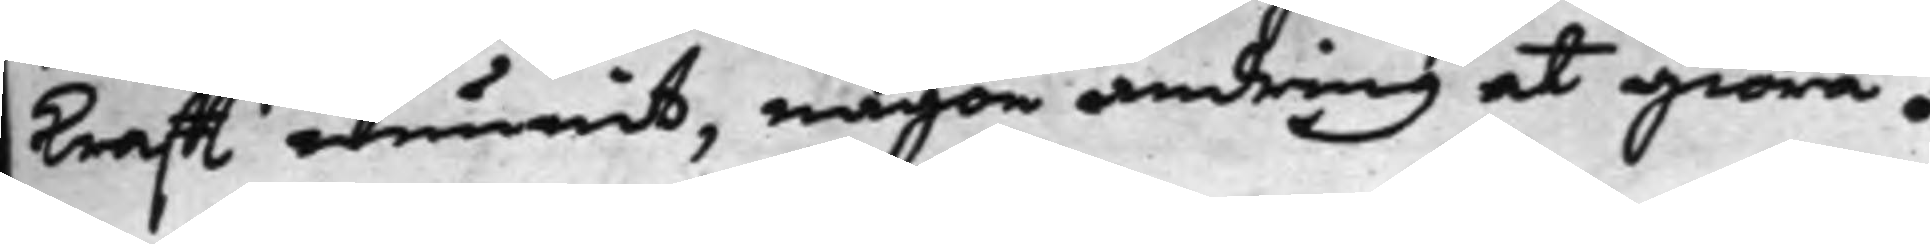krafft wunnit, någon ändring at giöra.
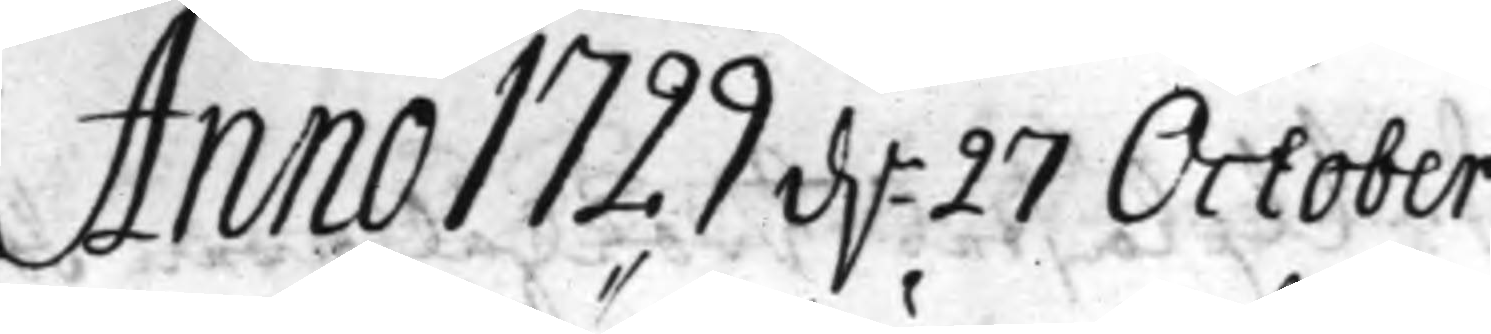Anno 1729 d. 27 October
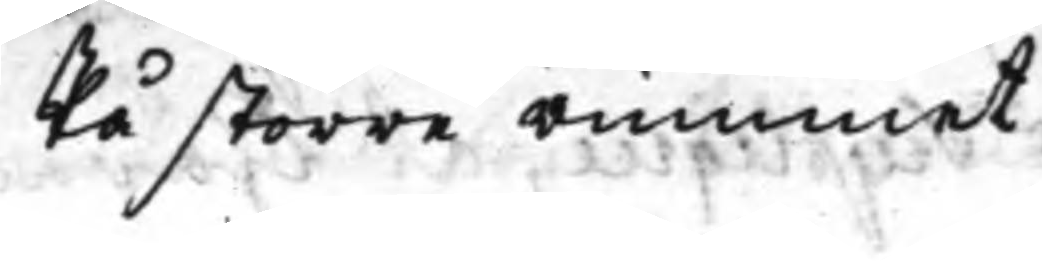På större rummet
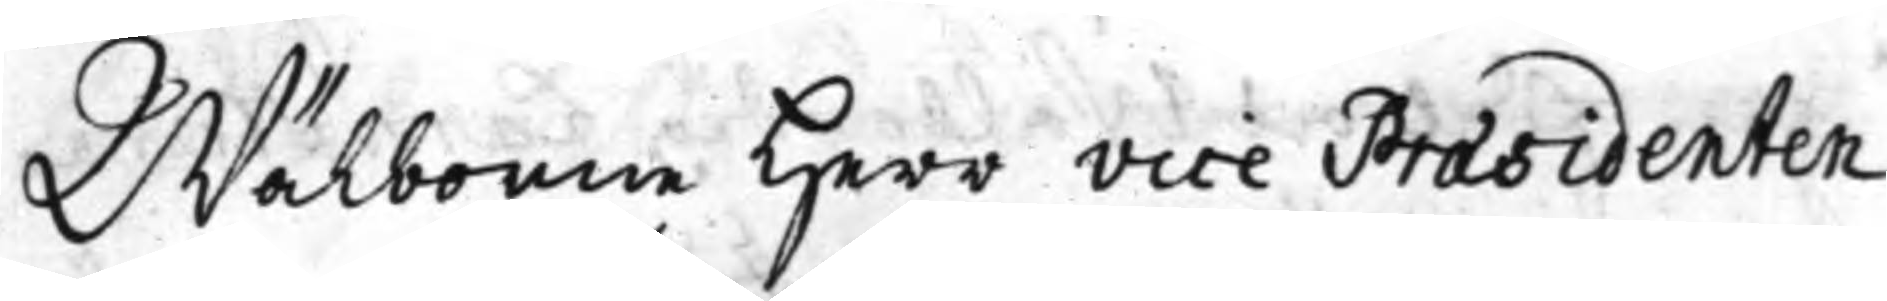Wälborne Herr Vice Præsidenten
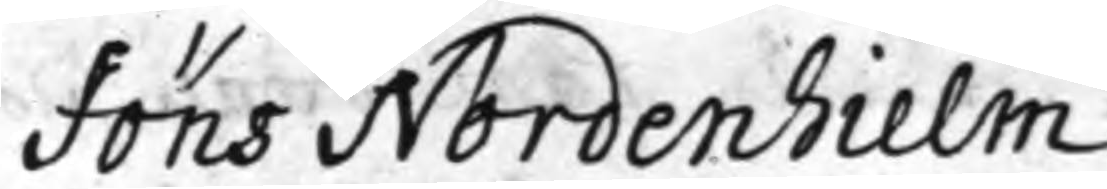Jöns Nordenhielm
